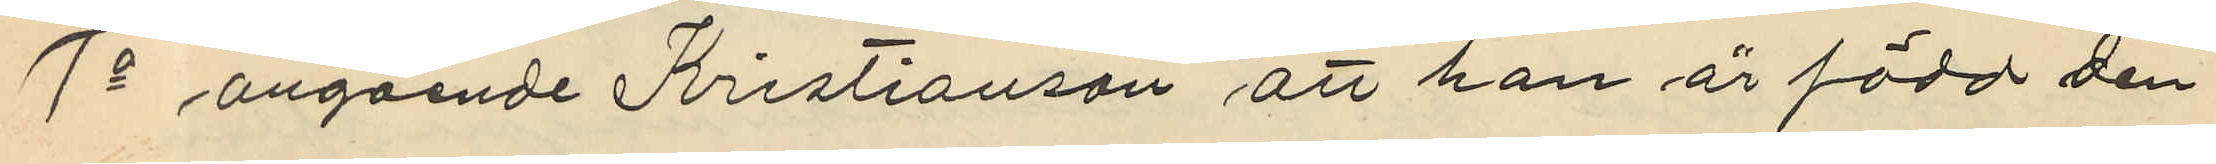1o angående Kristianson att han är född den
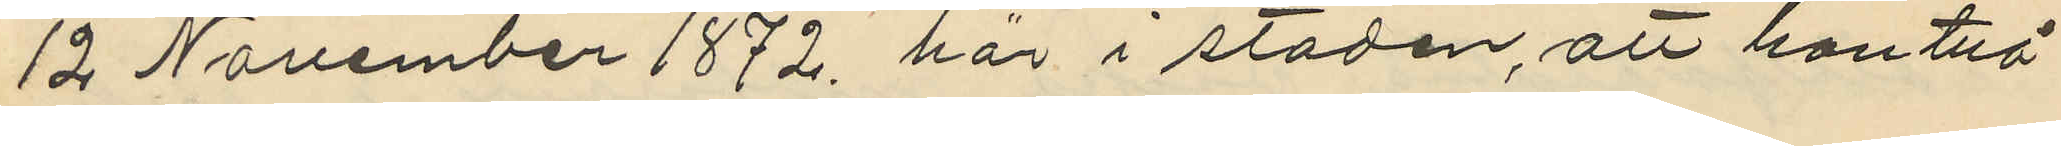12 November 1872 här i staden, att han två
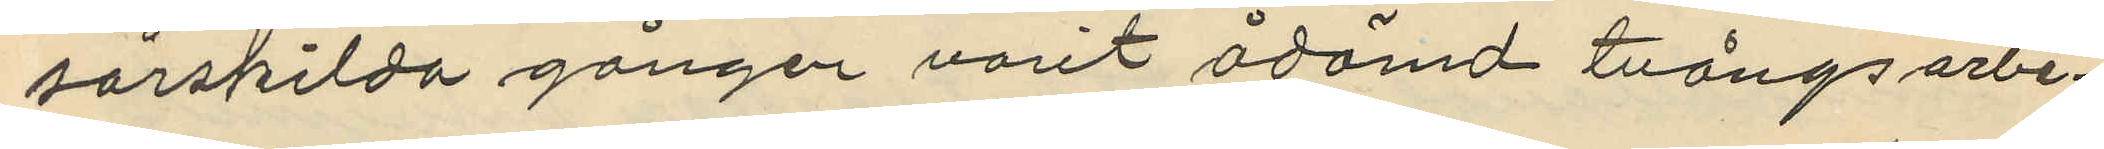särskilda gånger varit ådömd tvångsarbe¬
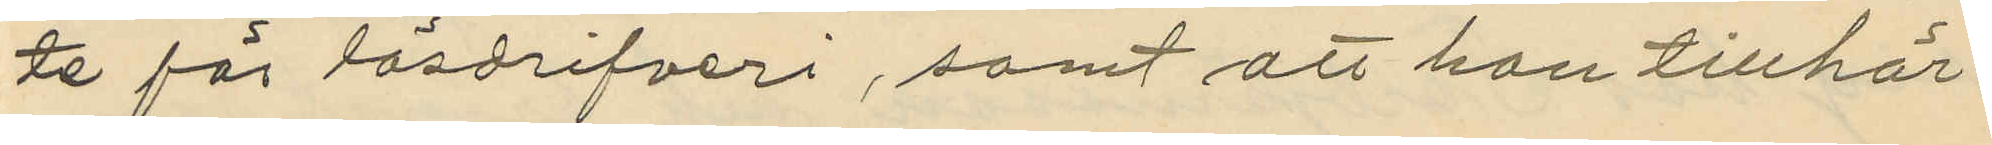te för lösdrifveri, samt att han tillhör
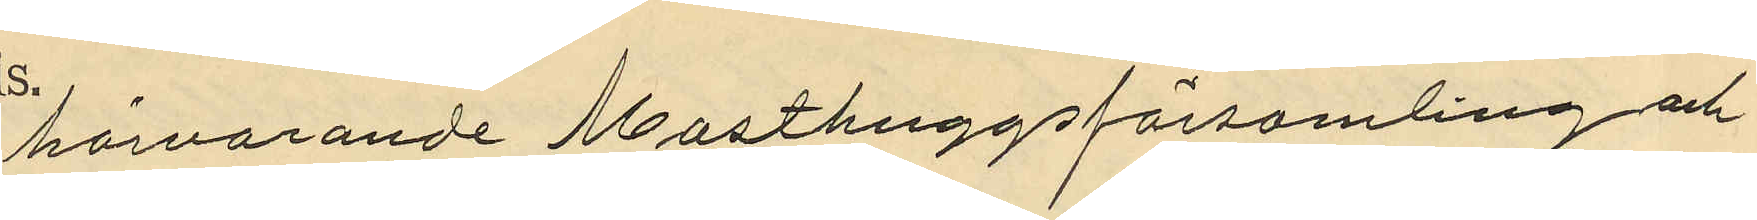härvarande Masthuggsförsamling och
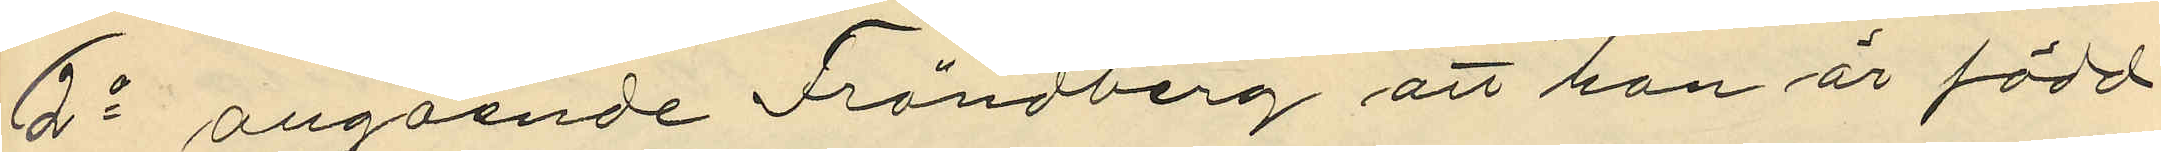2o angående Frändberg att han är född
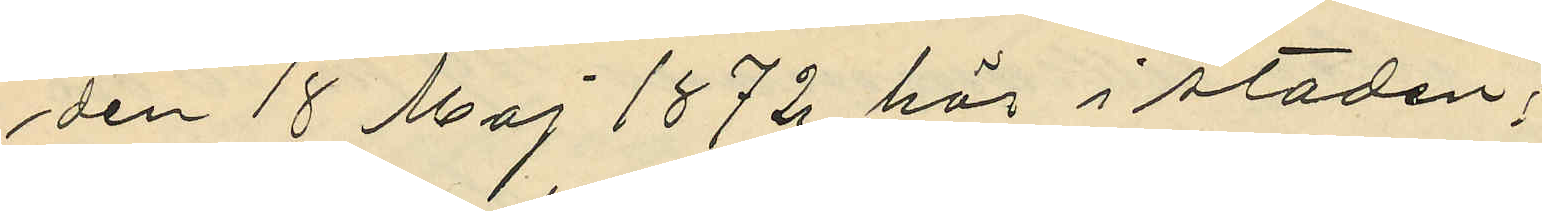den 18 Maj 1872 här i staden;
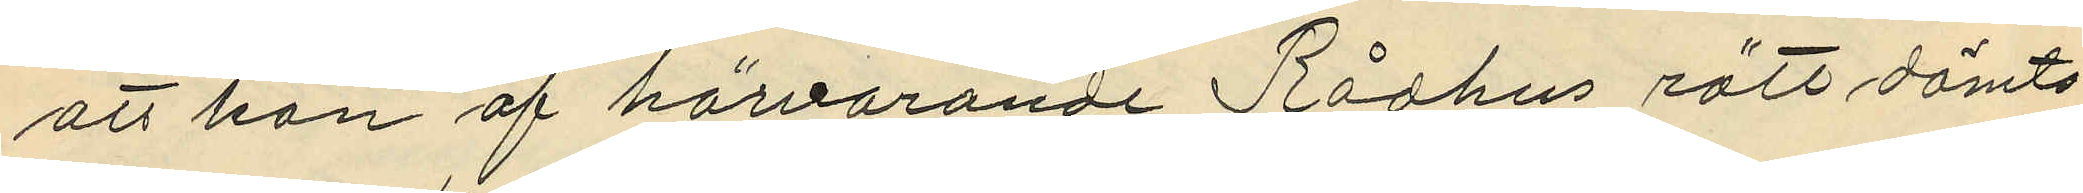att han af härvarande Rådhus rätt dömts
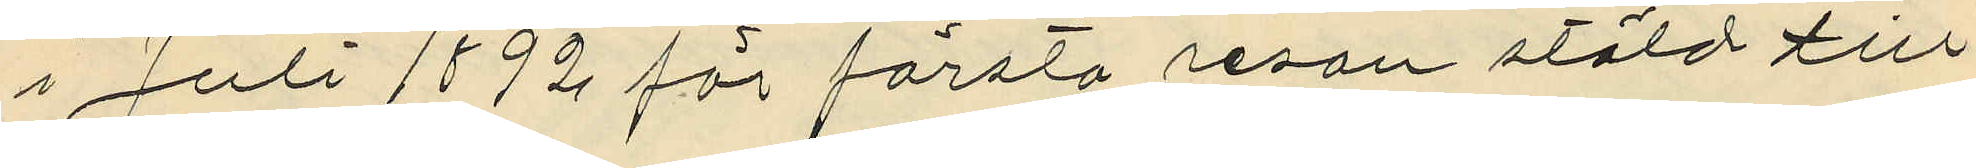i Juli 1892 för första resan stöld till
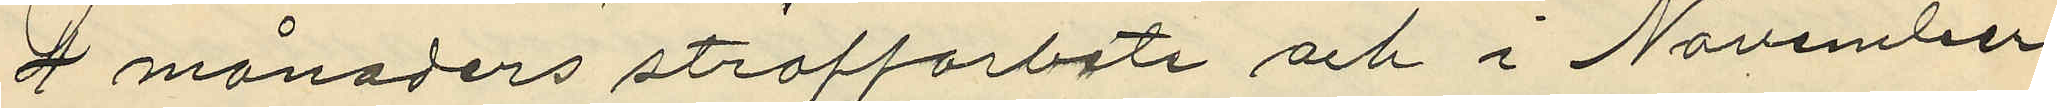2 månaders straffarbete och i November
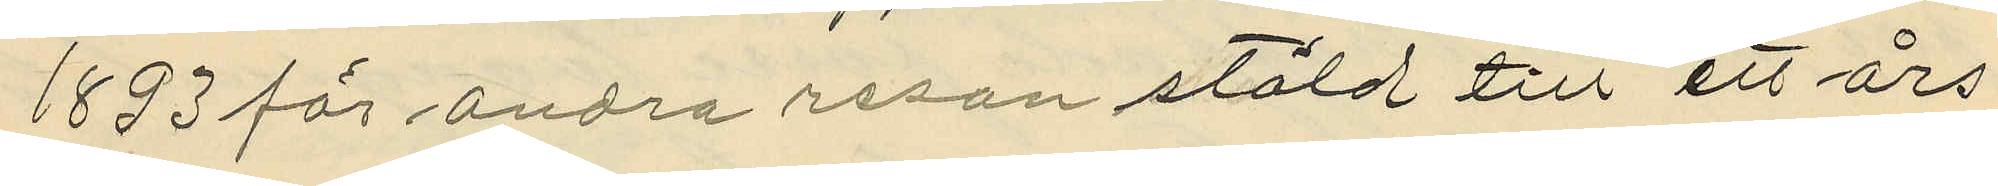1803 för andra resan stöld till ett års
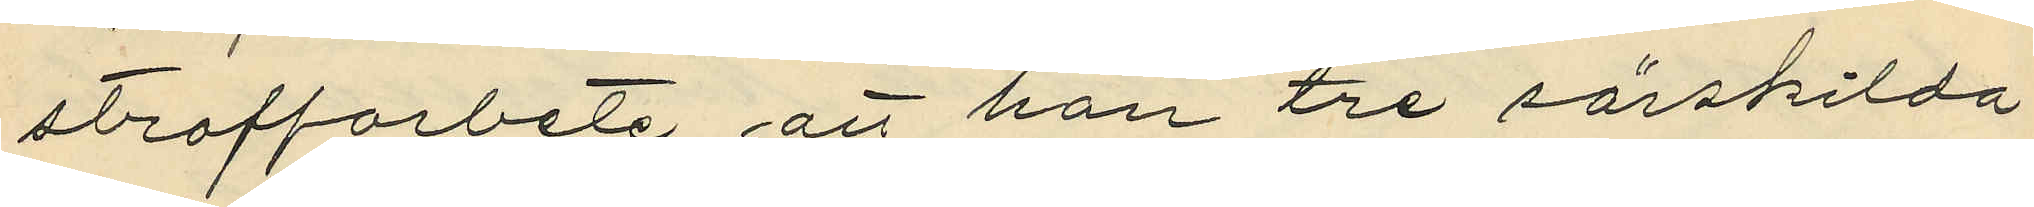straffarbete att han tre särskilda
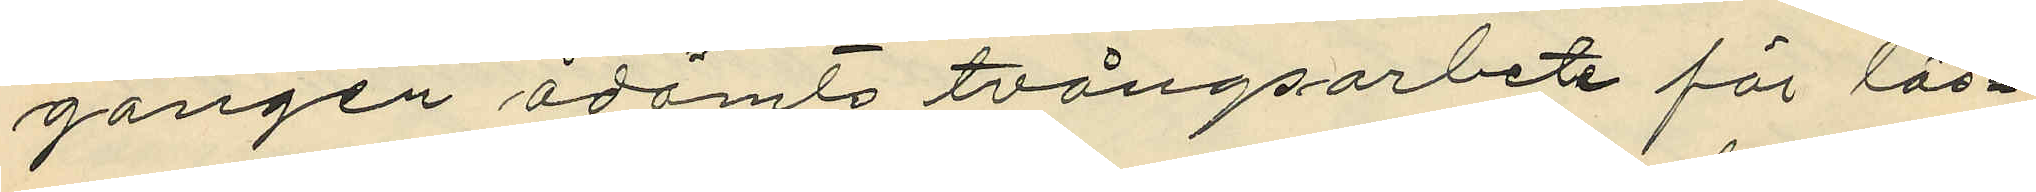gången ådömts tvångsarbete för lös¬
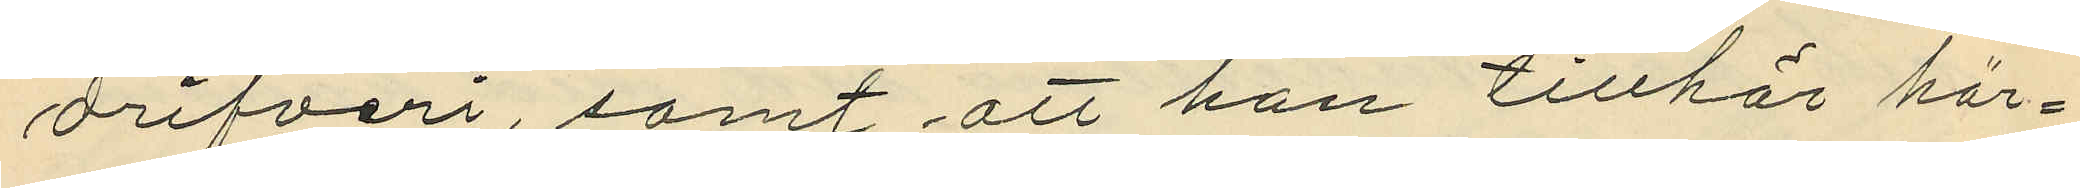drifveri, samt att han tillhör här¬
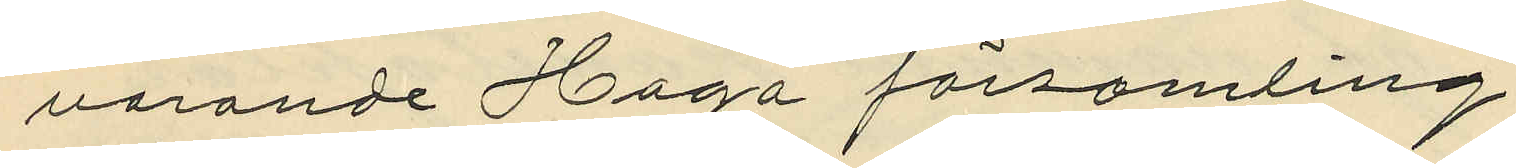varande Haga församling.
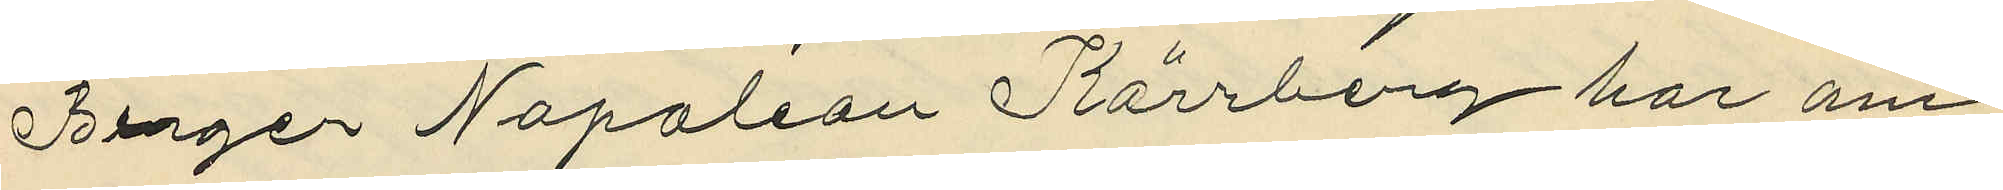Birger Napoleon Kärrberg har om
